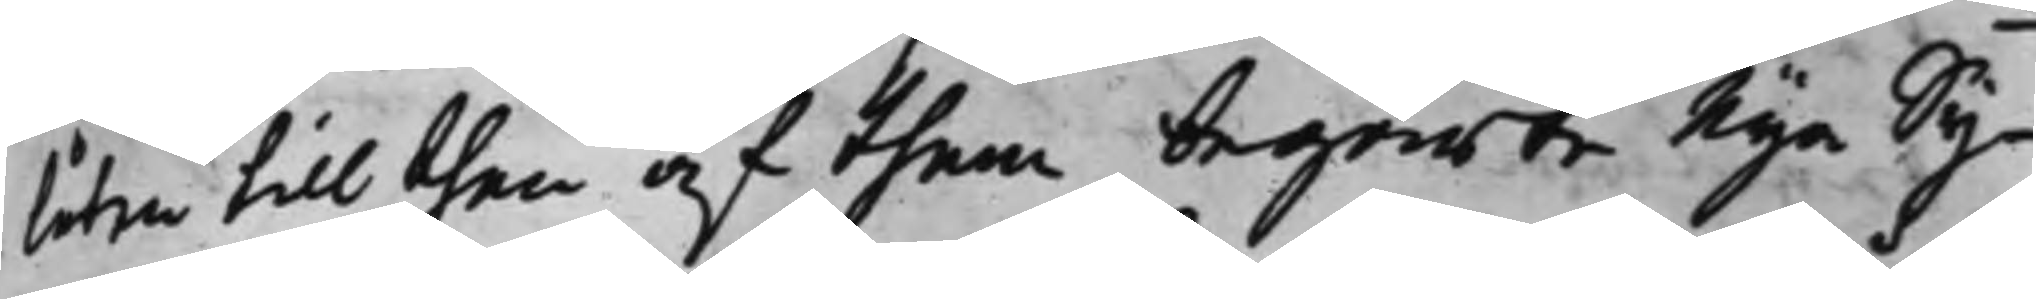låten till then af them begierte nya Sy¬
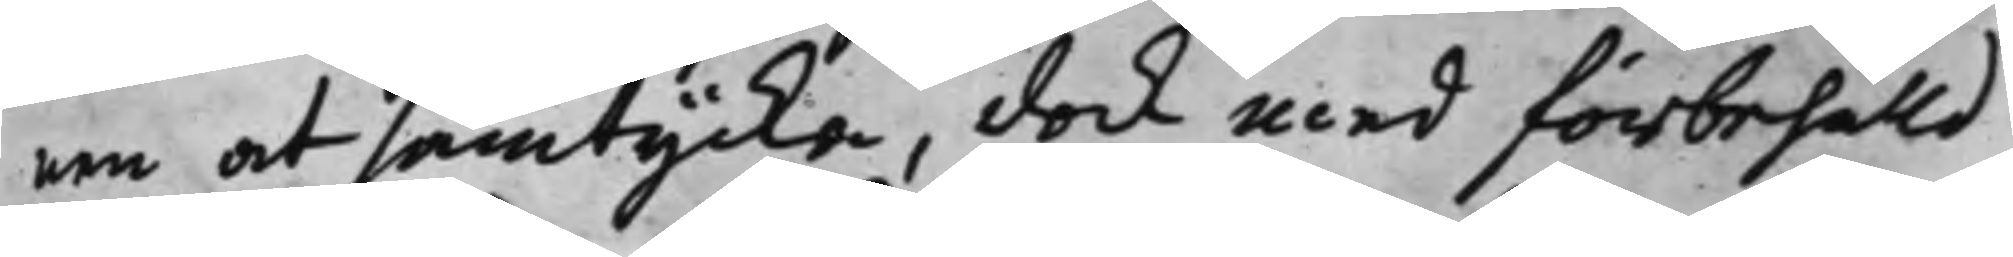nen at samtycka, dock med förbehålld
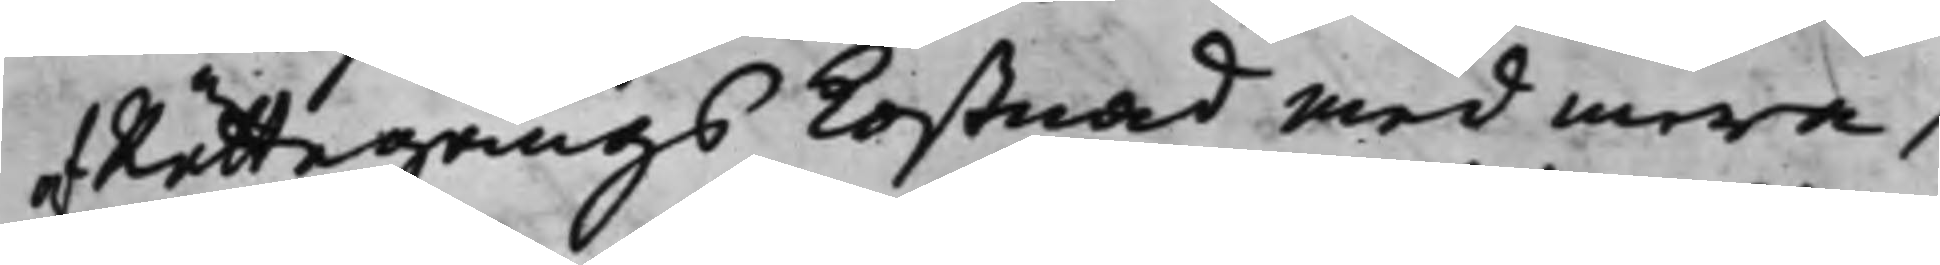af Rättegångs kostnad med mera,
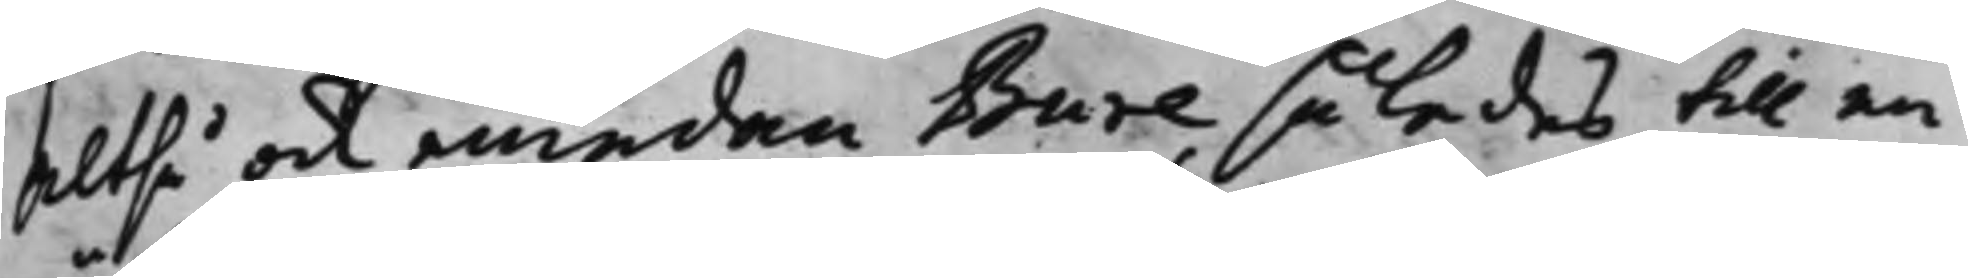Altså och emedan Bure således till en
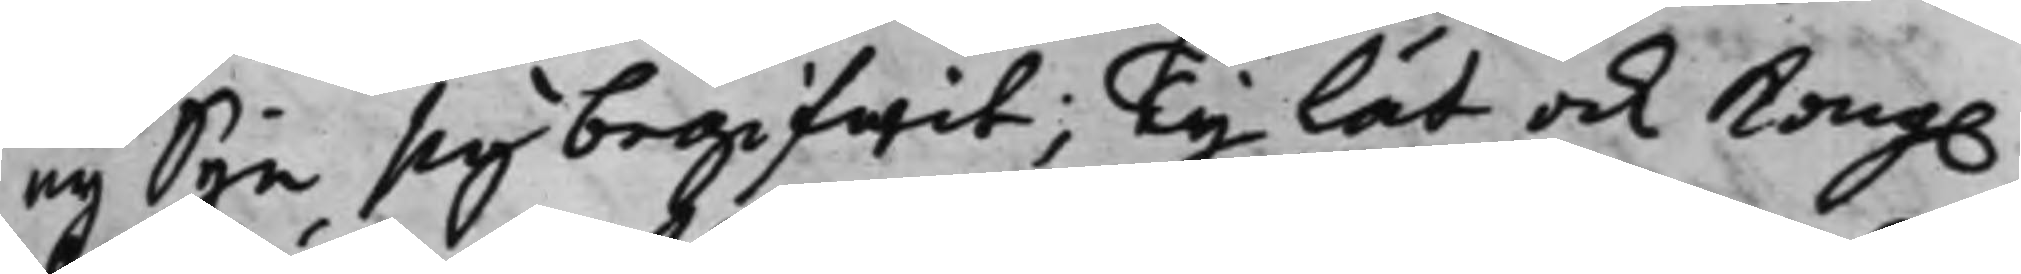ny Syn sig begifwit; Ty lät ock Kong.
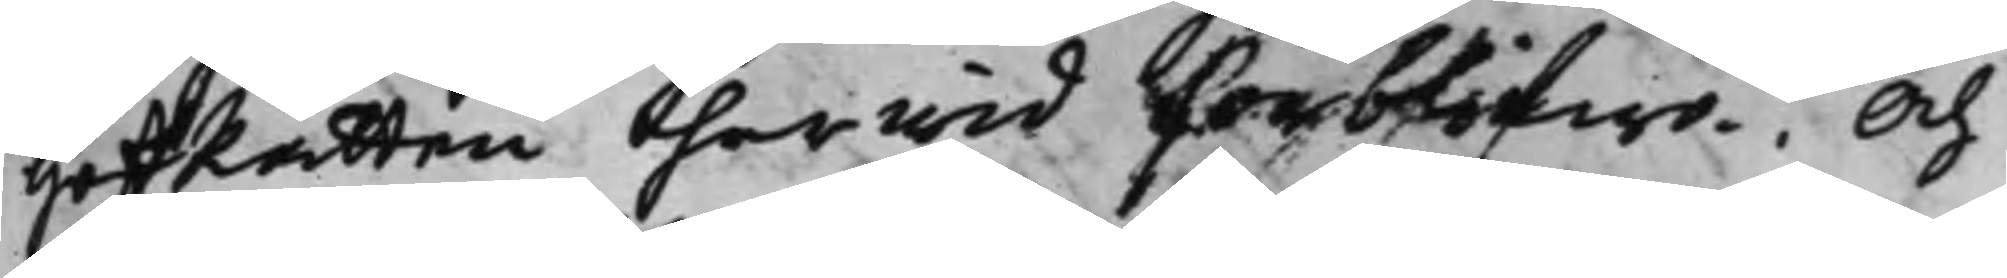HofRätten härwid förblifwa. Och
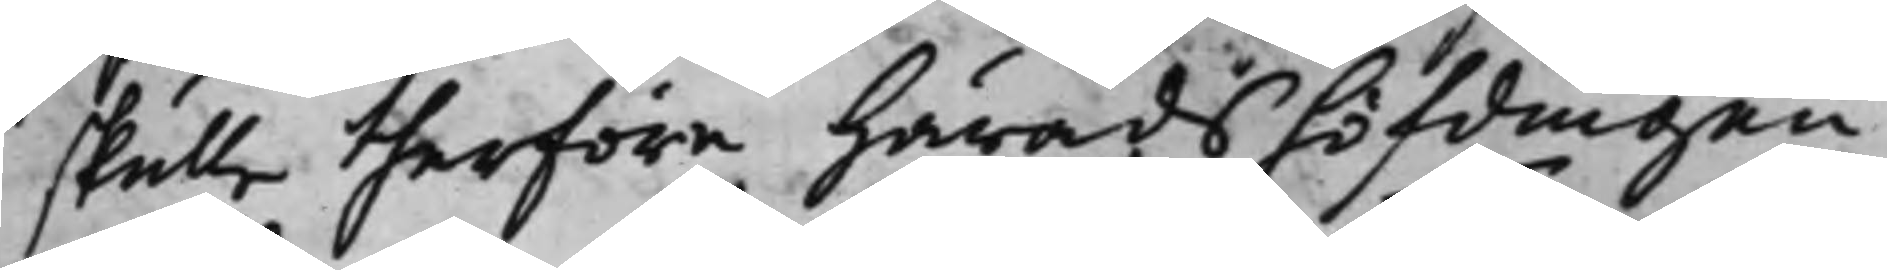skulle therföre Häradshöfdingen
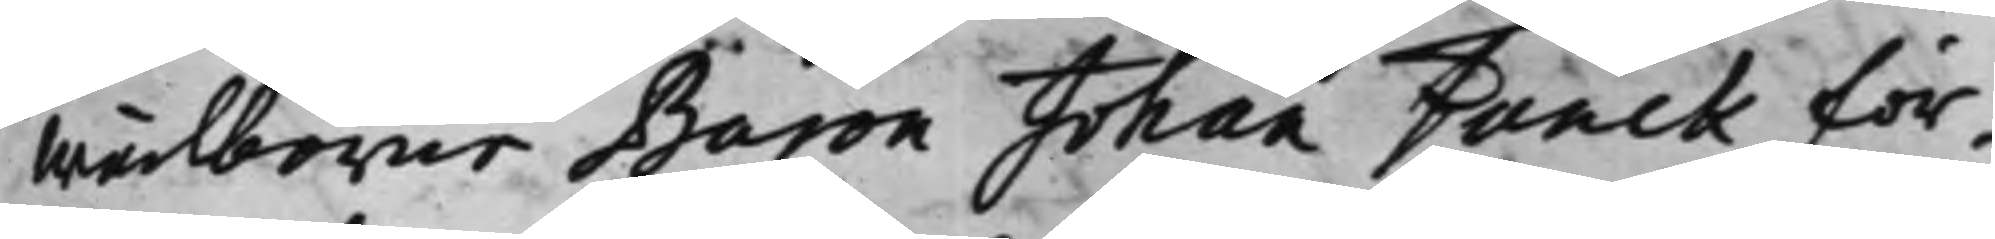Wälborne Baron Johan Funck för¬
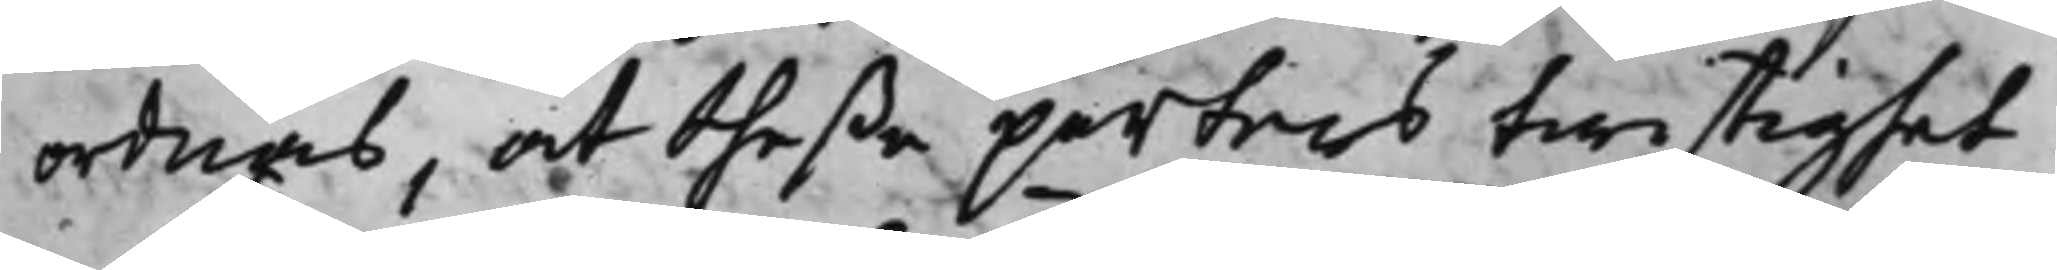ordnas, at theße parters twistighet
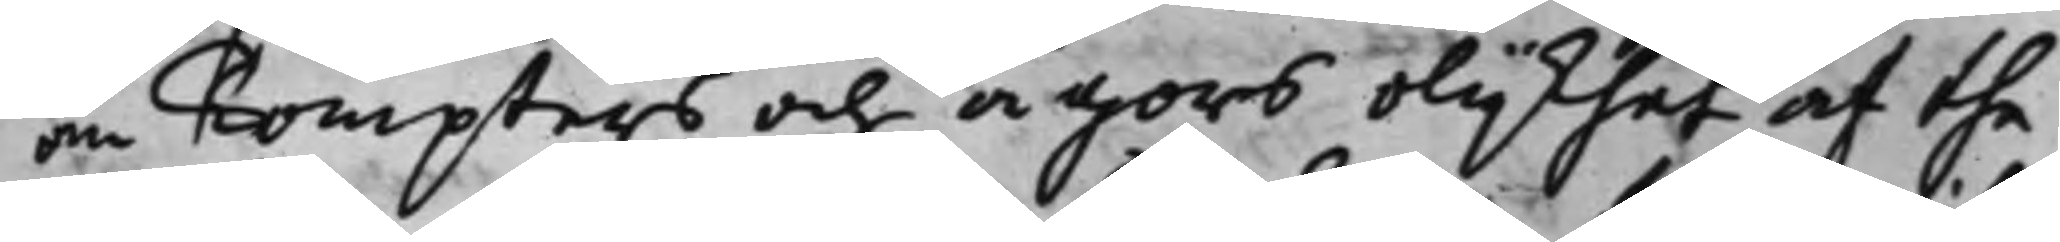om Tompters och ägors olijkhet af the¬
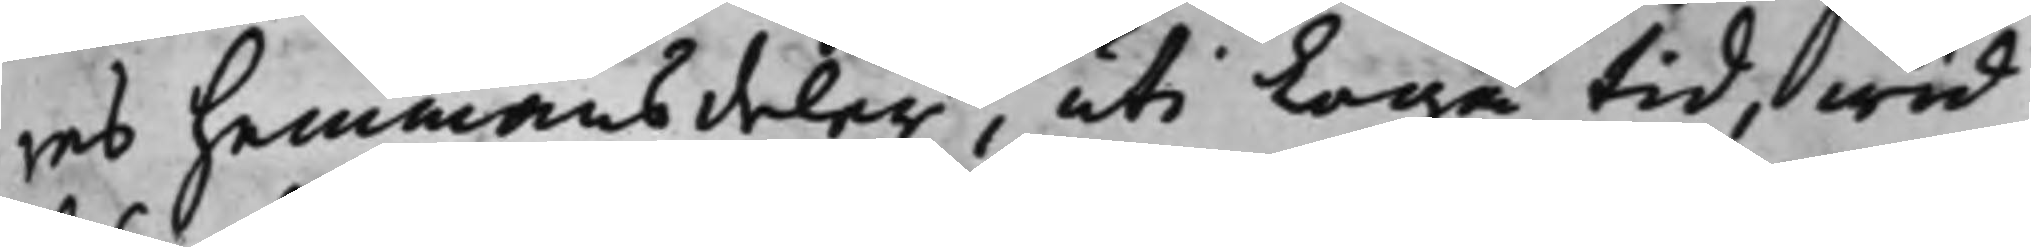res hemmans deler, uti Laga tid, wid
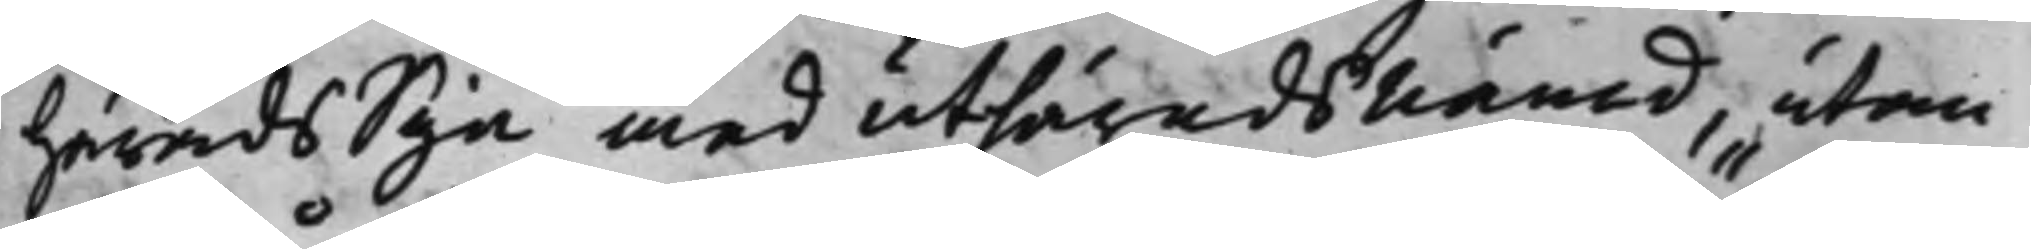HäradsSyn med uthäradsnämd, utan
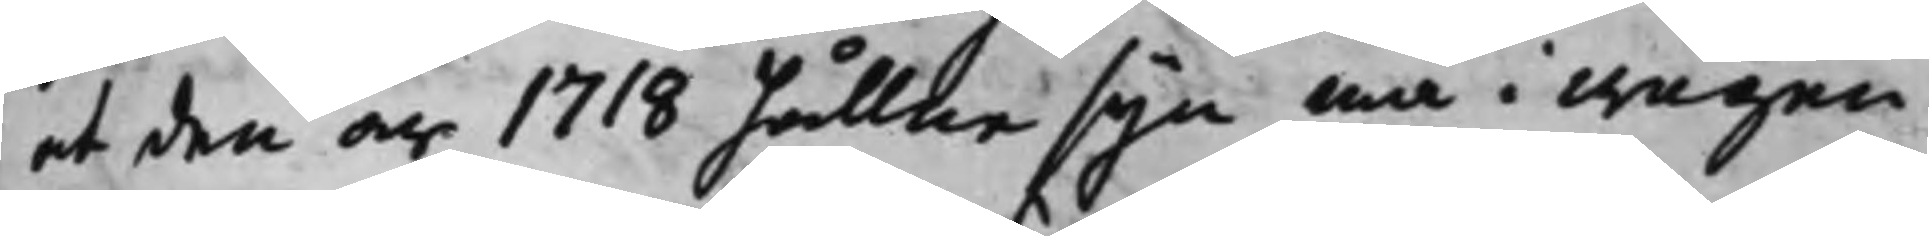at den år 1718 hållne syn må i wägen
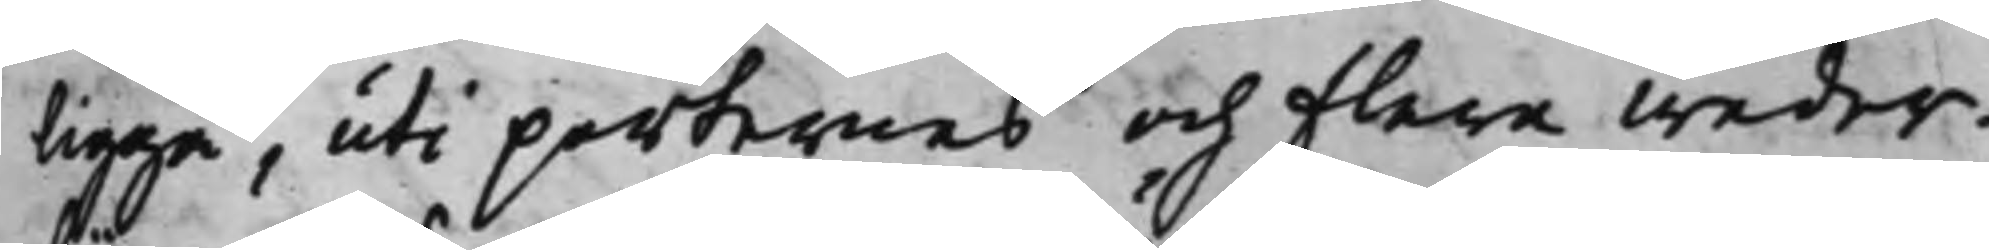ligga, uti parternes och flera weder¬
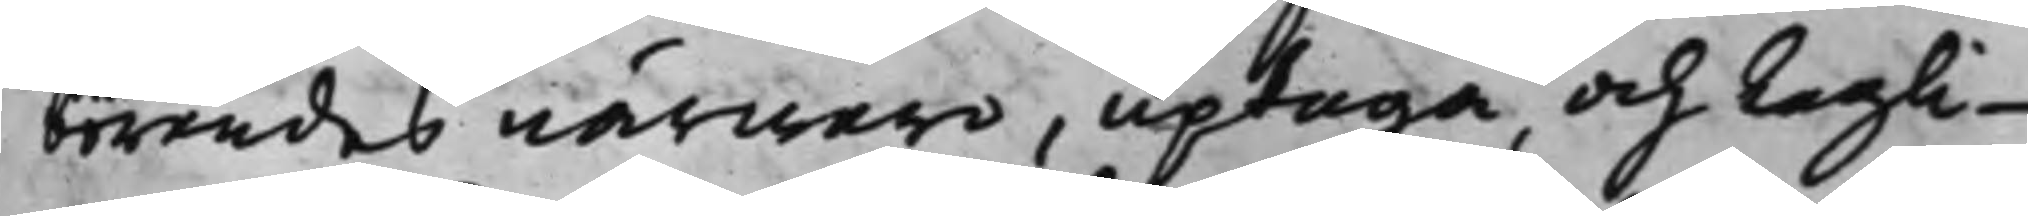börandes närwaro, uptaga och Lagli¬
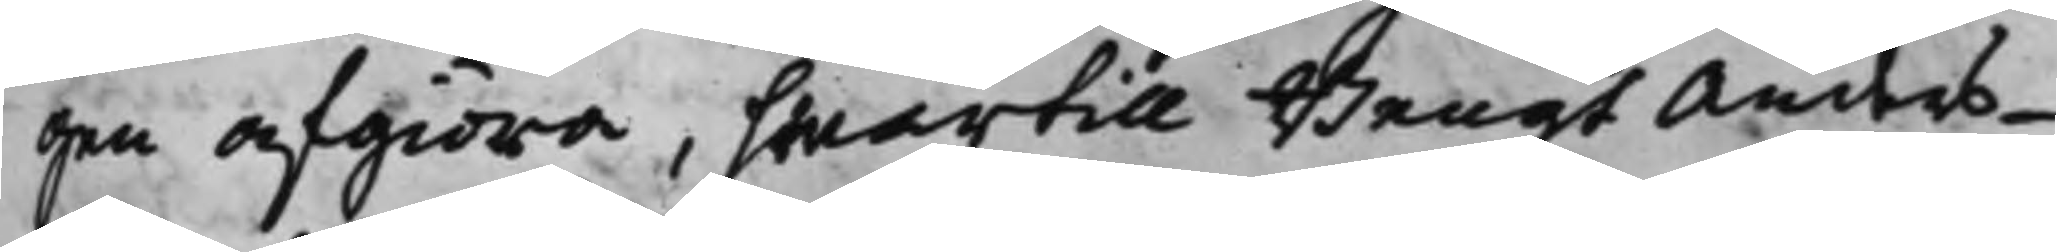gen afgiöra, hwartill Bengt Anders¬
